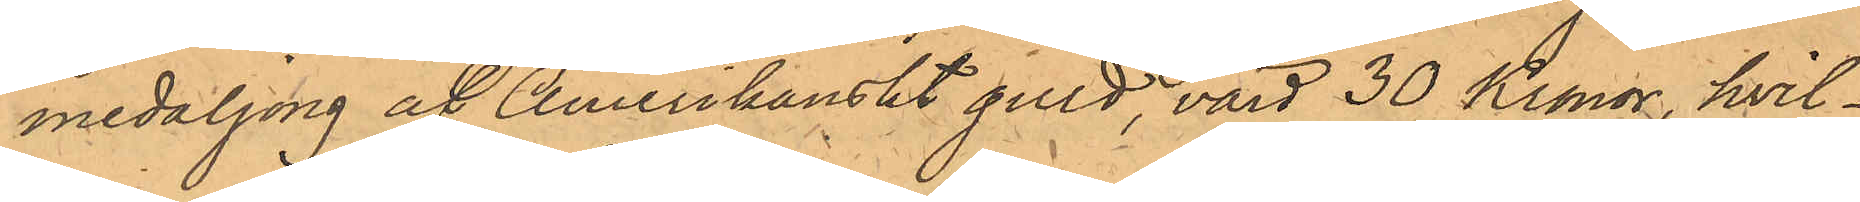medaljong af Amerikanskt guld, värd 30 Kronor, hvil¬
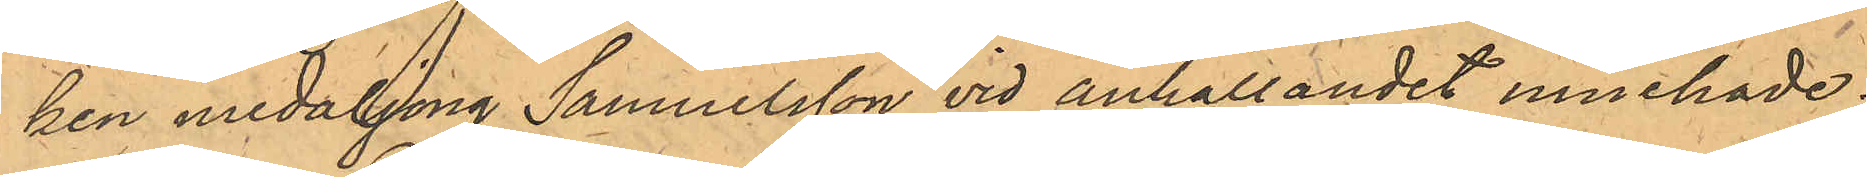ken medaljong Samuelsson vid anhållandet innehade;
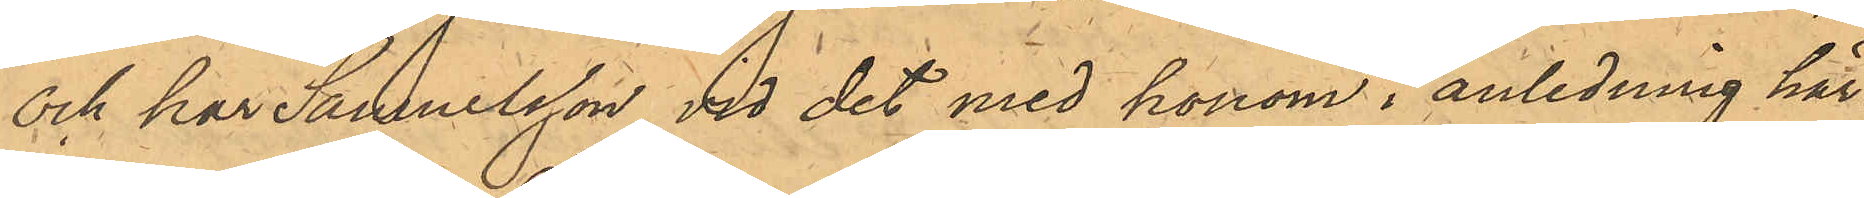och har Samuelsson vid det med honom i anledning här¬
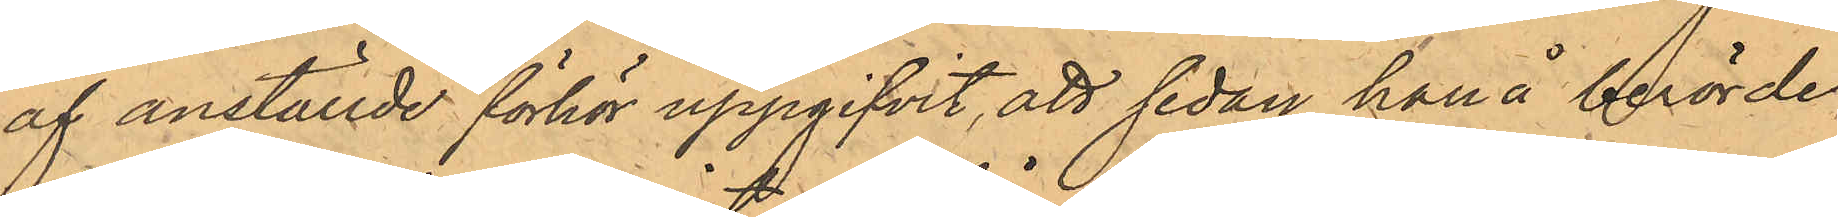af anställde förhör uppgifvit, att sedan han å berörde
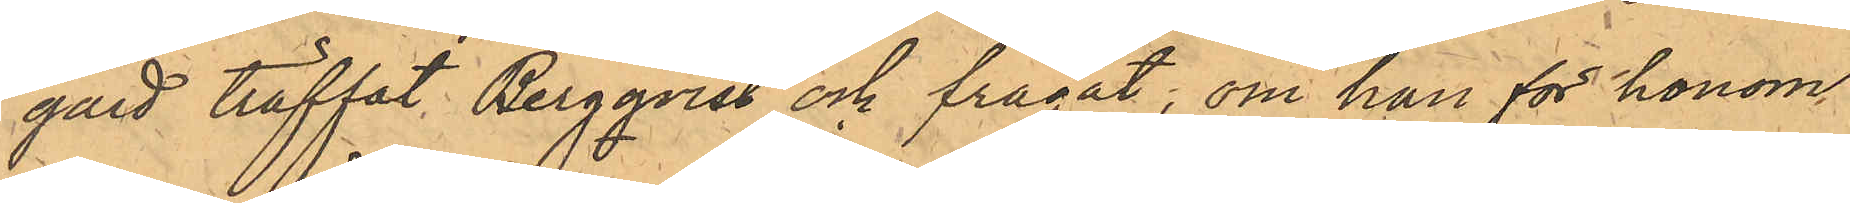gård träffat Bergqvist och frågat; om han för honom
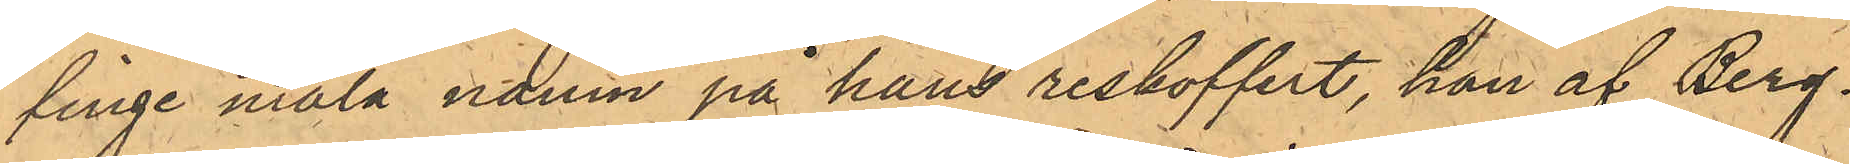finge måla namn på hans reskoffert, han af Berg¬
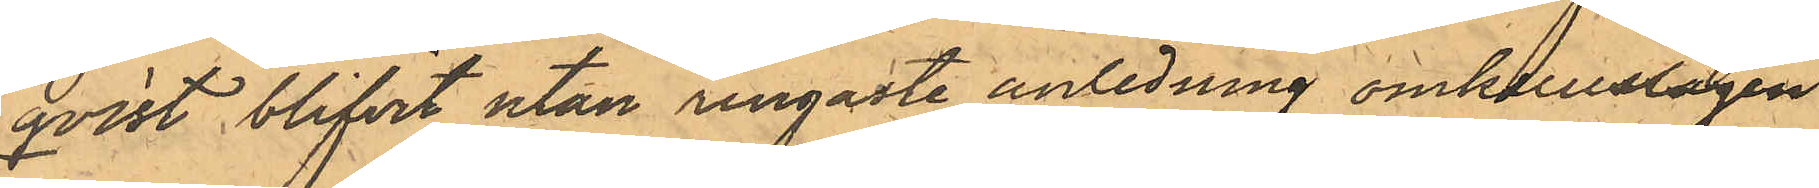qvist blifvit utan ringaste anledning omkullslagen
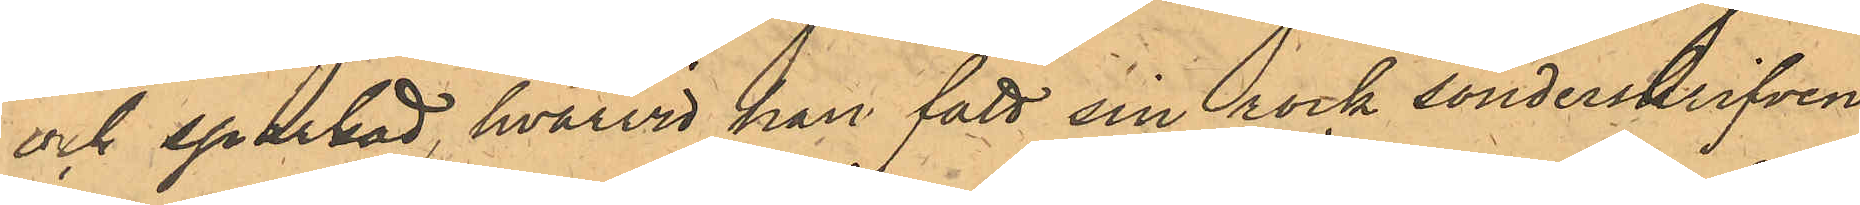och sparkad, hvarvid han fått sin rock sönderriven
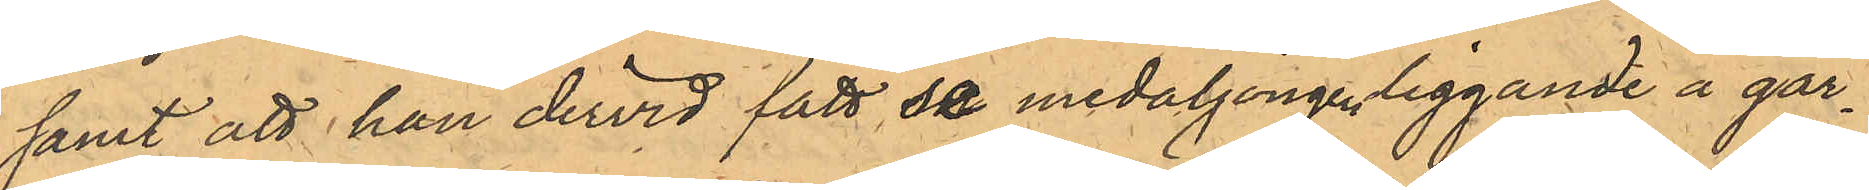samt att han dervid fått se medaljongen liggande å går¬
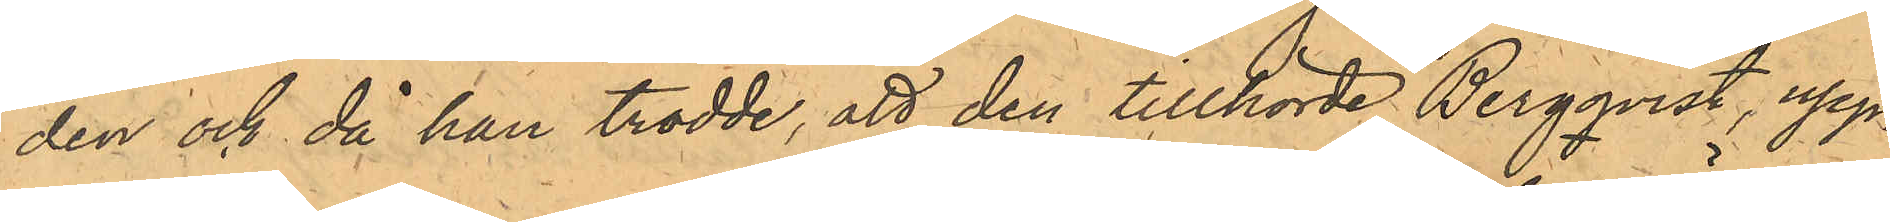den och åd han trodde, att den tillhörde Bergqvist, upp¬
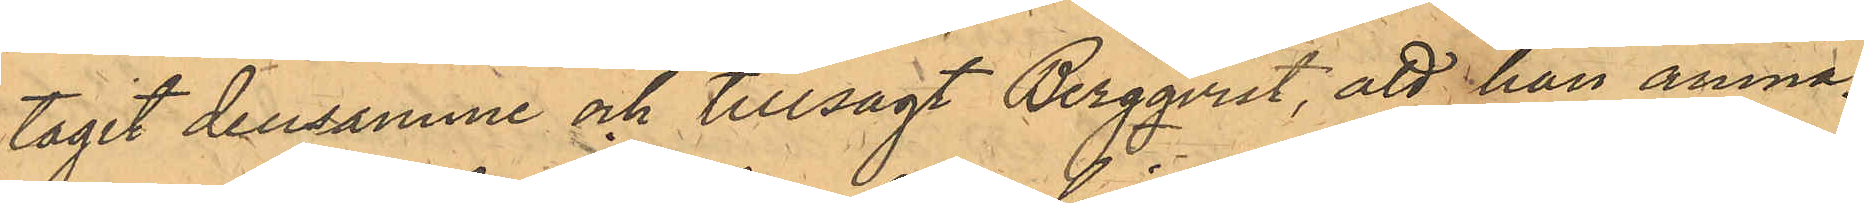tagit densamme och tillsagt Bergqvist, att han ämna¬
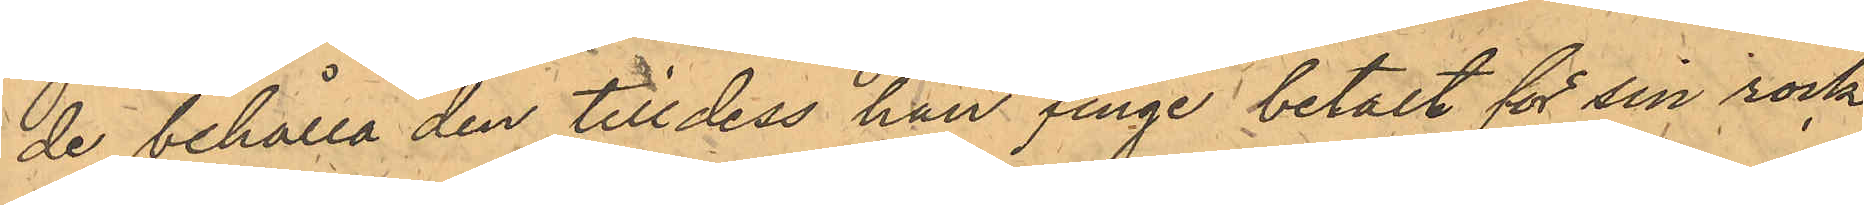de behålla den till dess han finge betalt för sin rock.
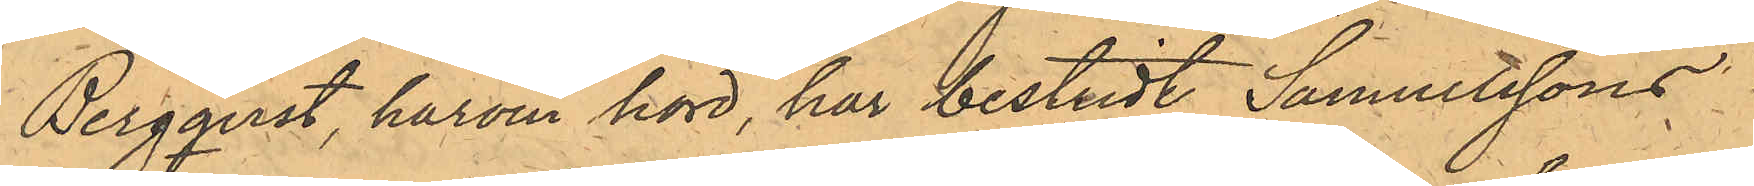Bergqvist, härom hörd, har bestridt Samuelssons
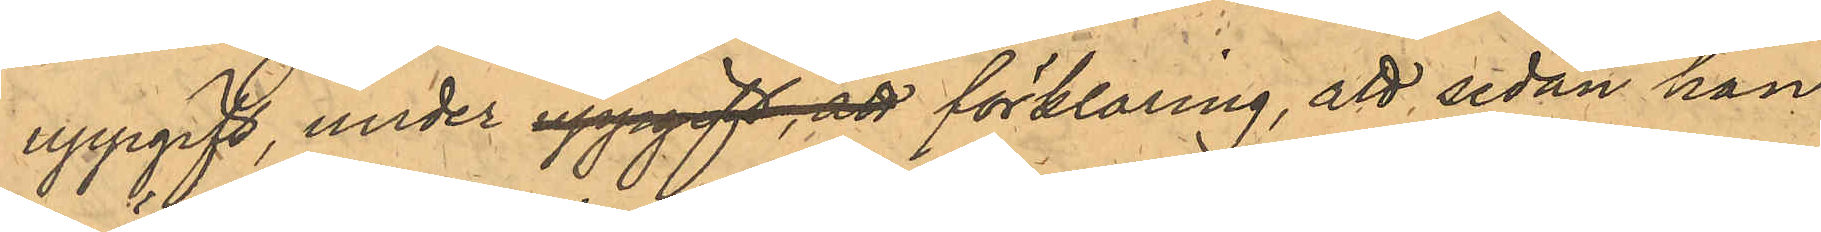uppgift, under uppgift, att förklaring, att sedan han
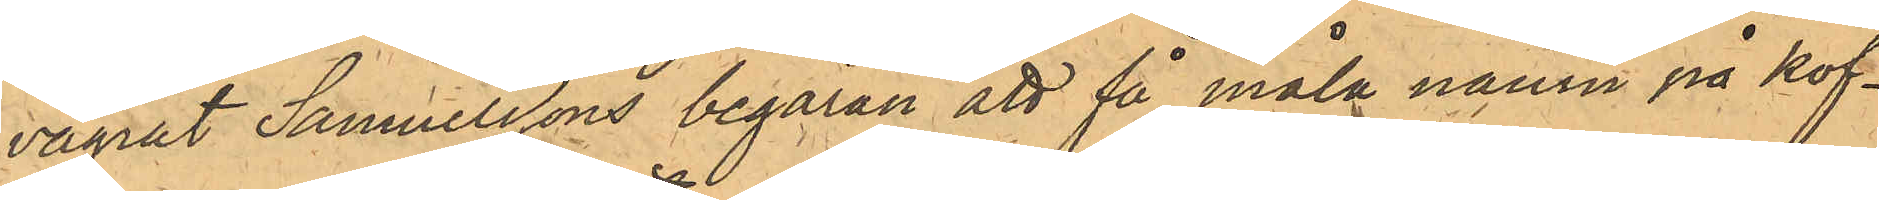vägrat Samuelssons begäran att få måla namn på kof¬
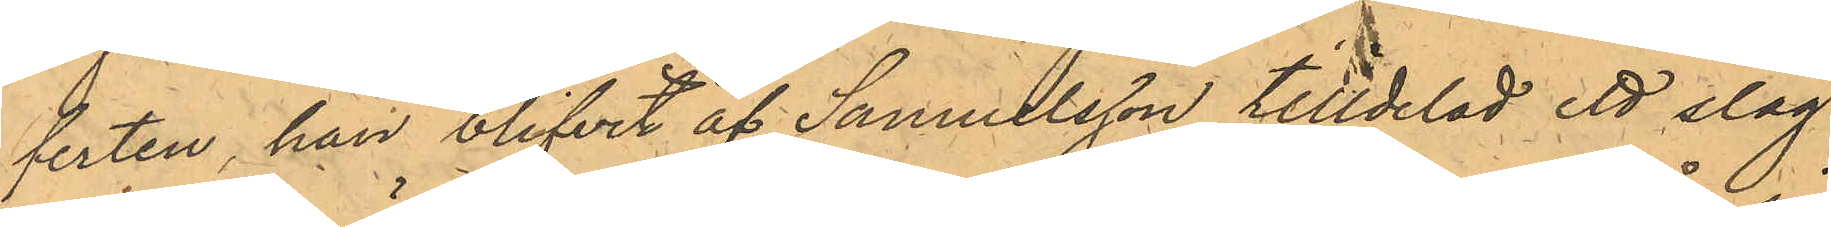ferten, han blifvit af Samuelsson tilldelad ett slag
